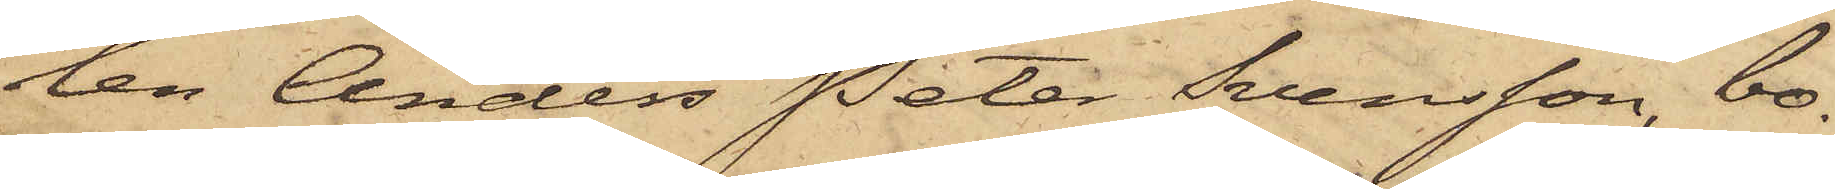len Anders Peter Svensson, bo¬
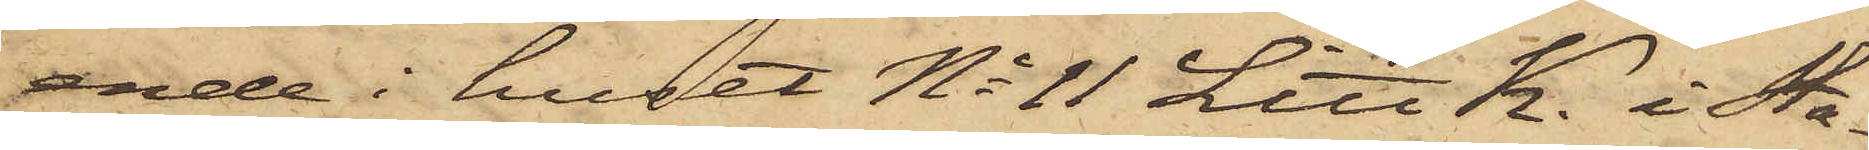ende i huset No 11 Litt K. i Sta¬
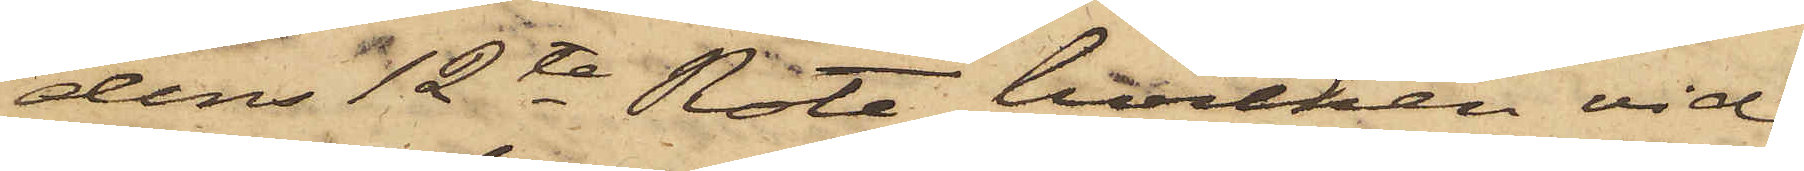dens 12te Rote, hvilken vid
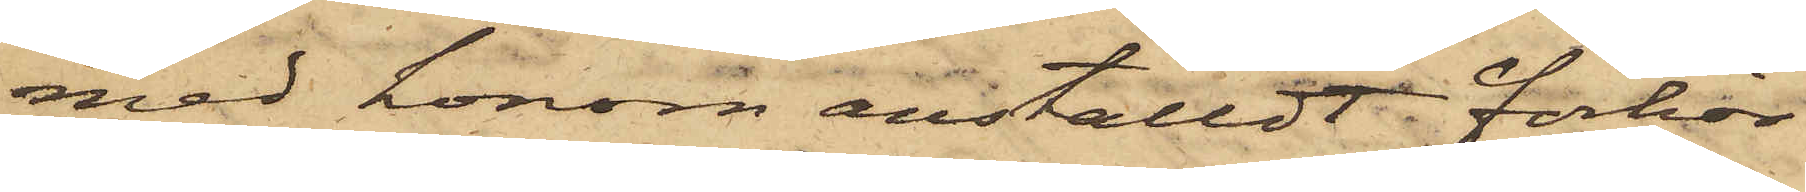med honom anställdt förhör
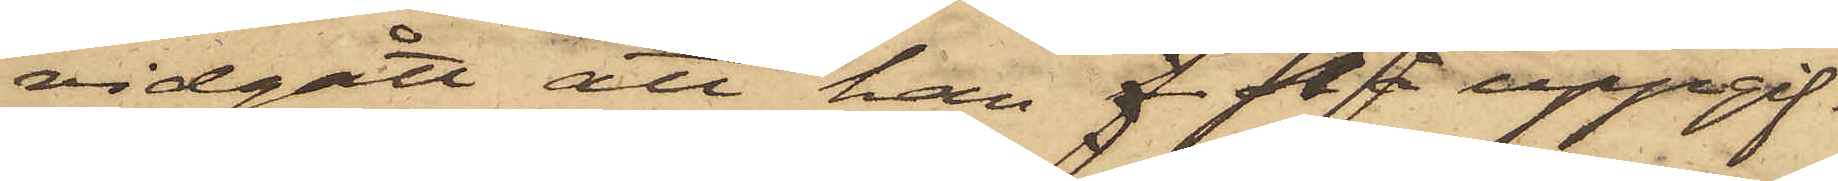vidgått att han f på uppgif¬
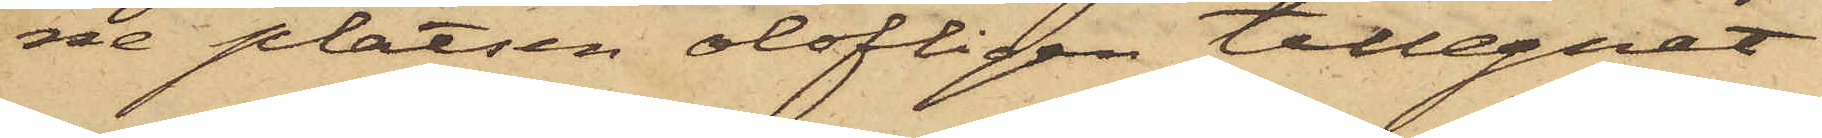ne platsen olofligen tillegnat
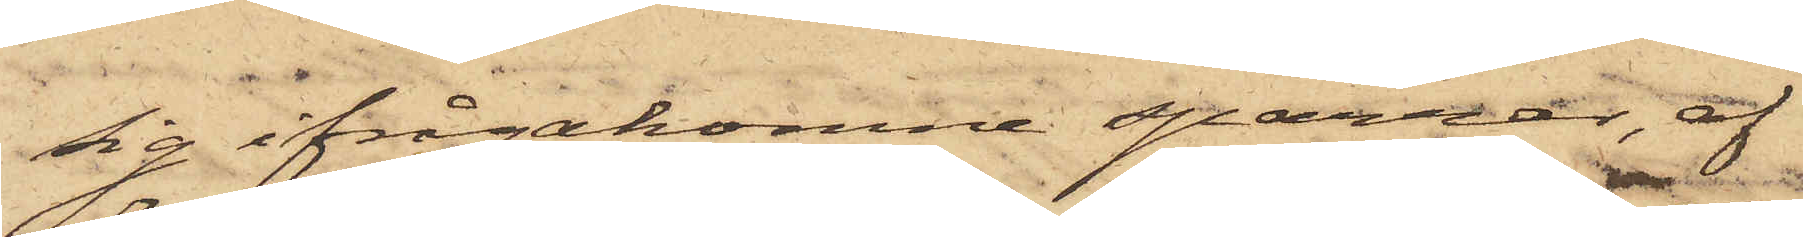sig ifrågakomne sparrar, af
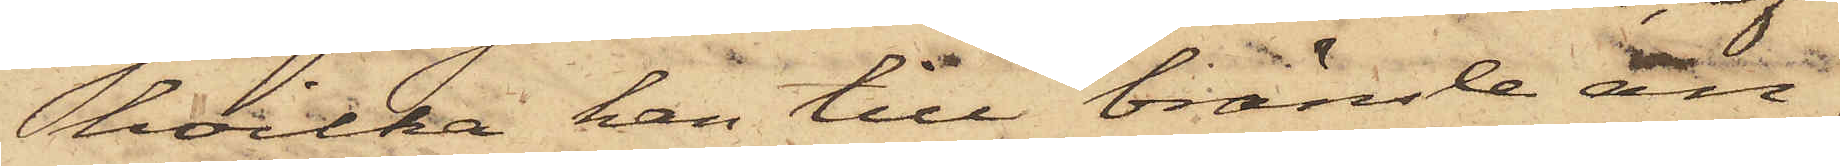hvilka han till bränsle an¬
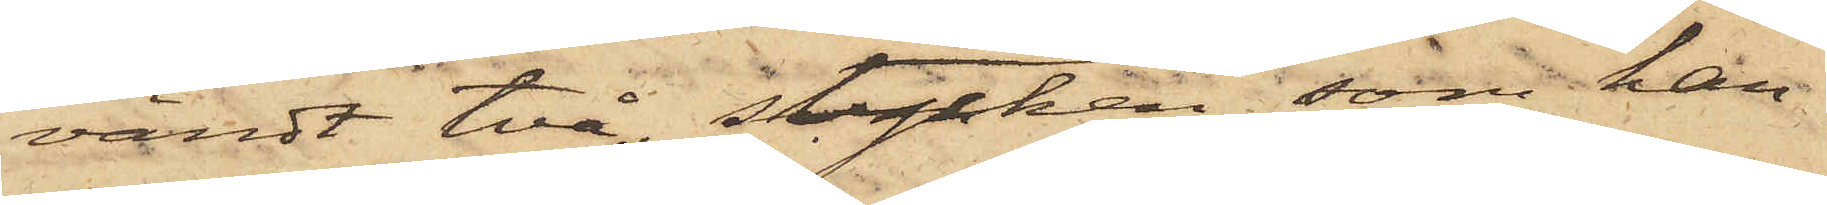vändt två stycken, som han
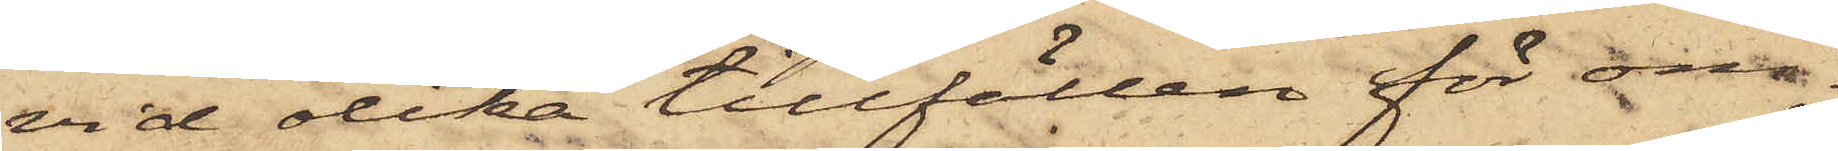vid olika tillfällen för om¬
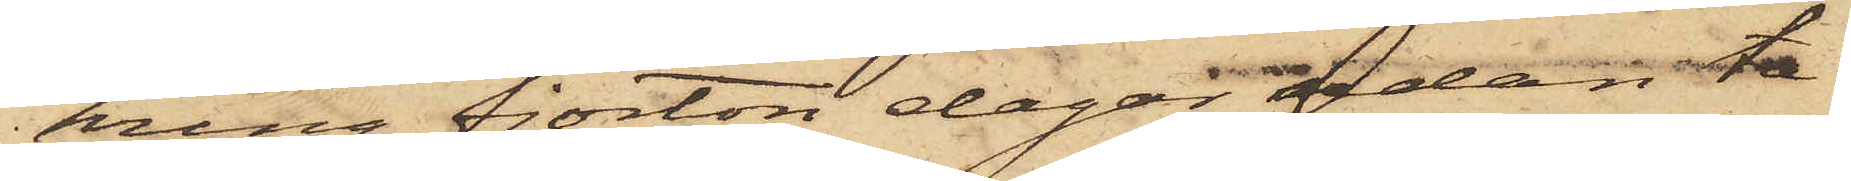kring fjorton dagar sedan ta¬
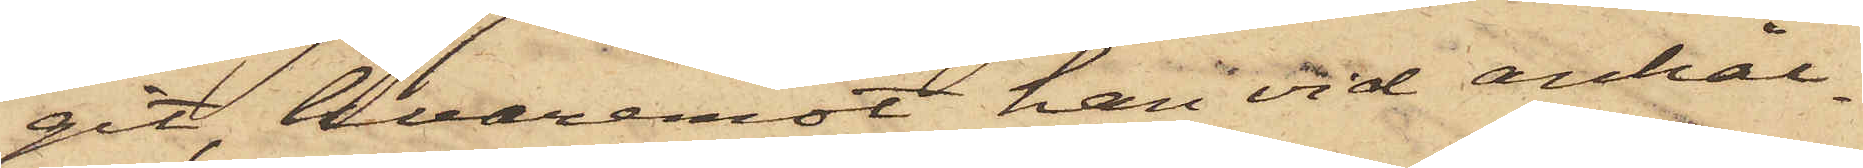git, hvaremot han vid anhål¬
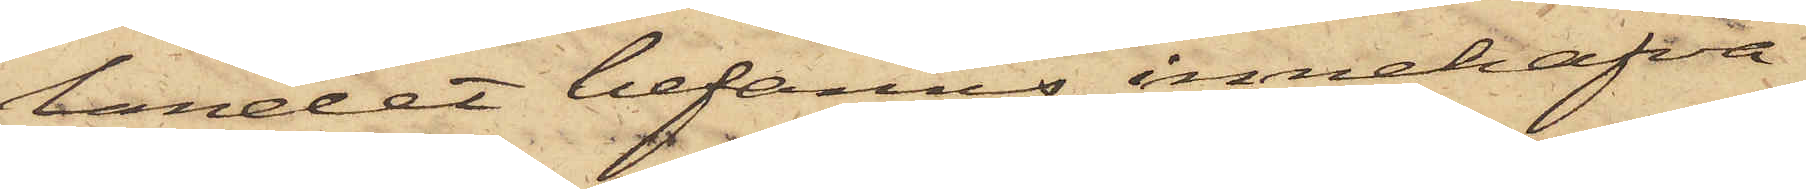landet befanns innehafva
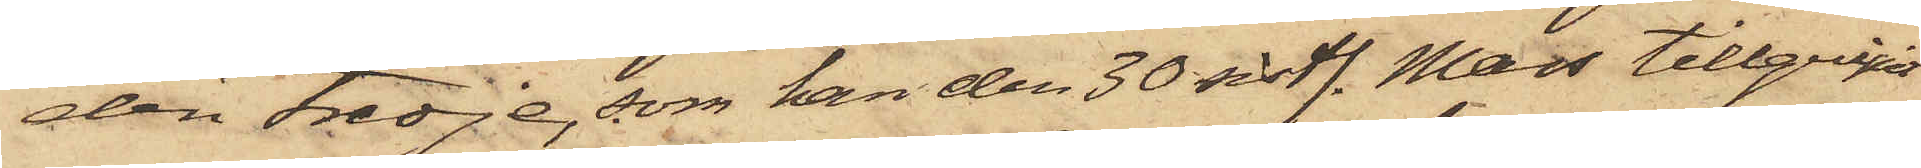den tredje, som han den 30 sistl. Mars tillgripit
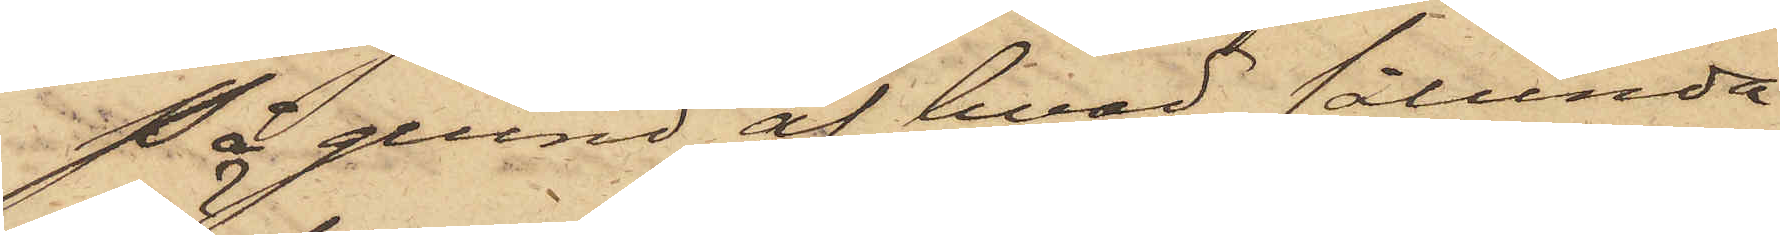På grund af hvad sålunda
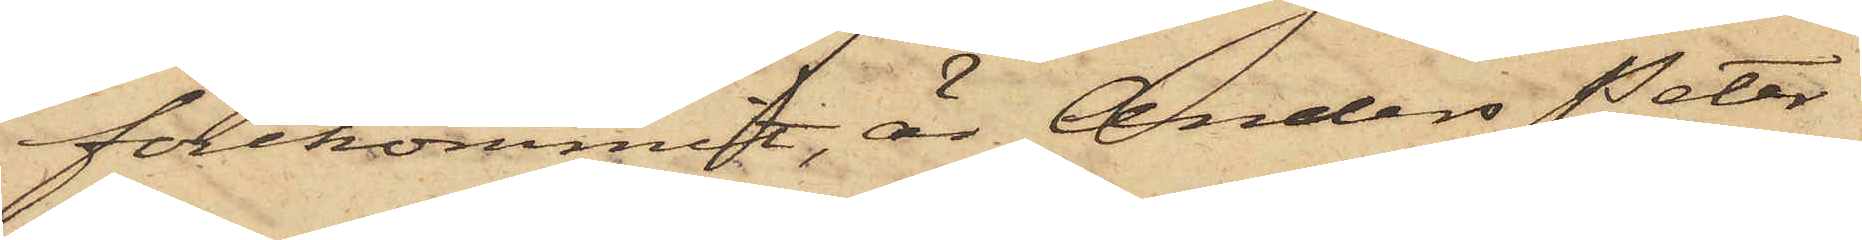förekommit, är Anders Peter
